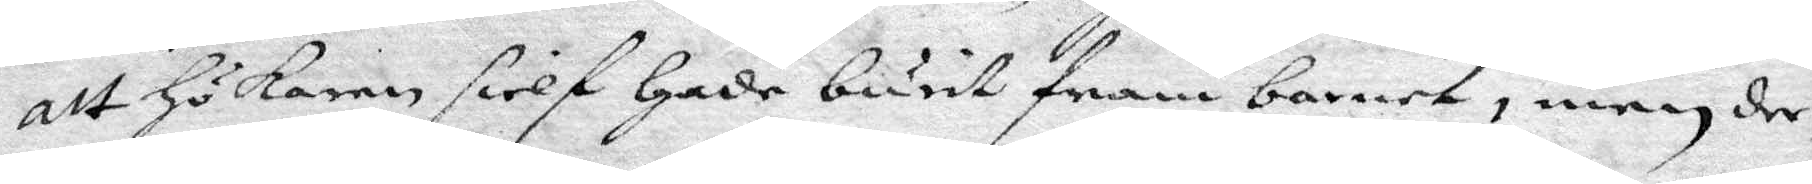att Hökaren sielf Hade burit fram barnet, men der¬
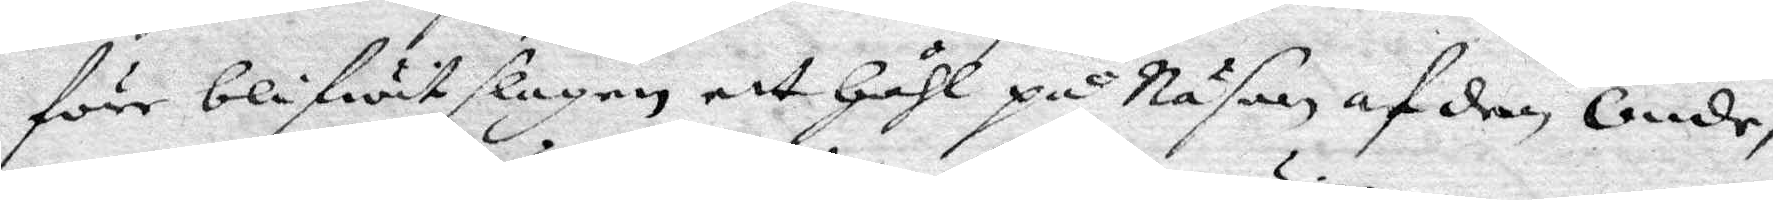före blifwit slagen ett Håhl på Näsan af den Onde,
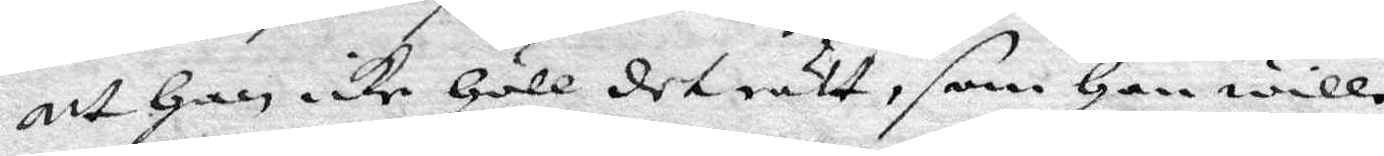att Han icke Höll det rätt, som Han wille.
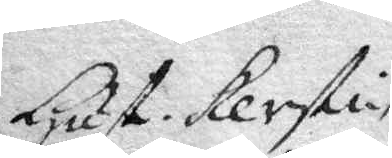Hust. Kerstin
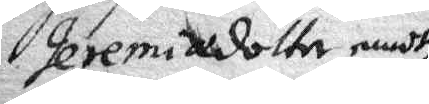Jeremiadottn emoth
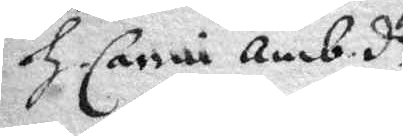H. Carin Amb.dr
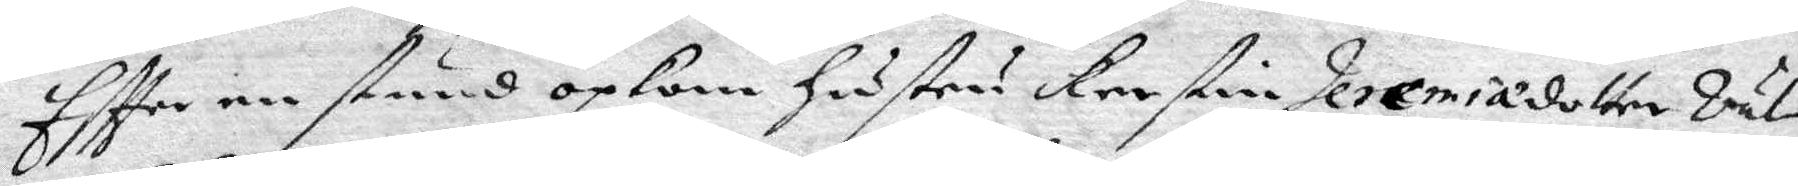Eftter en stund opkom Hustru Kerstin Jeremiadotter Väl¬
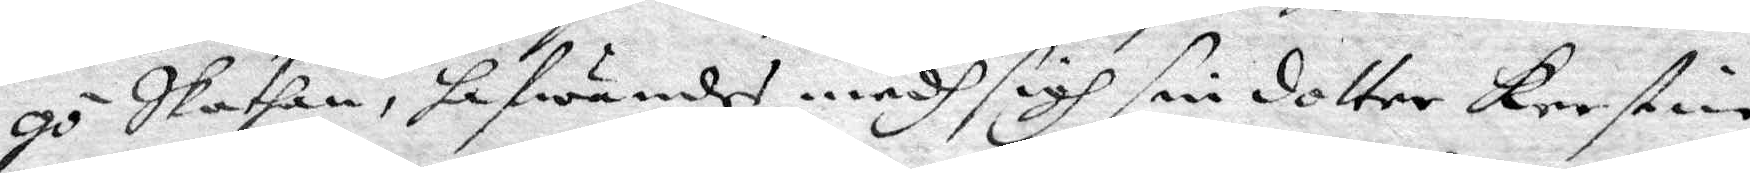gö Skathan, hafwandes medh sigh sin dotter Kerstin
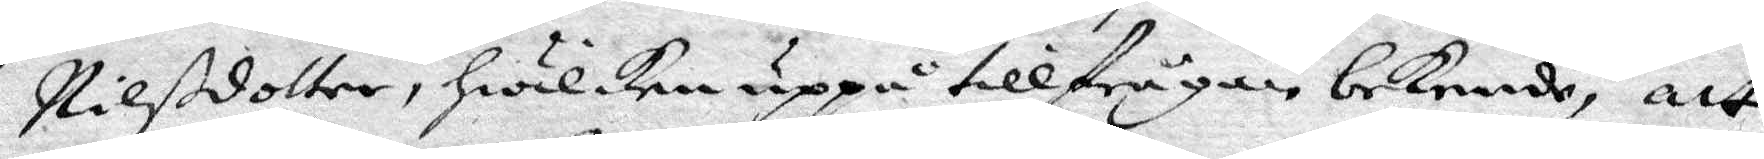Nilßdotter, hwilcken uppå tillfrågan bekende, att
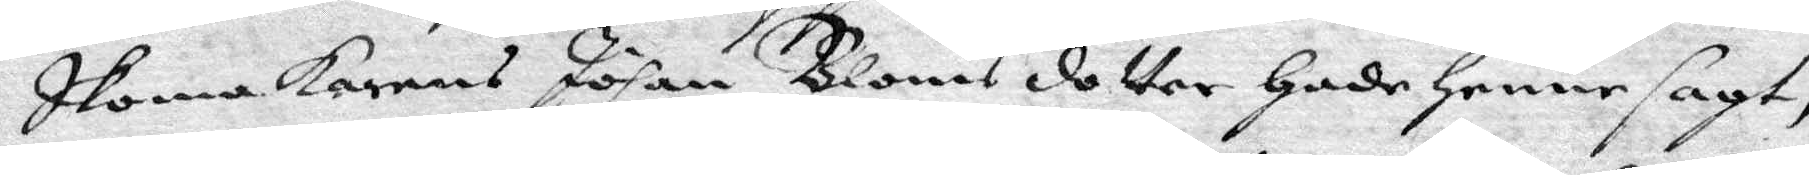Skomakarens Johan Blomsdotter Hade Henne sagt,
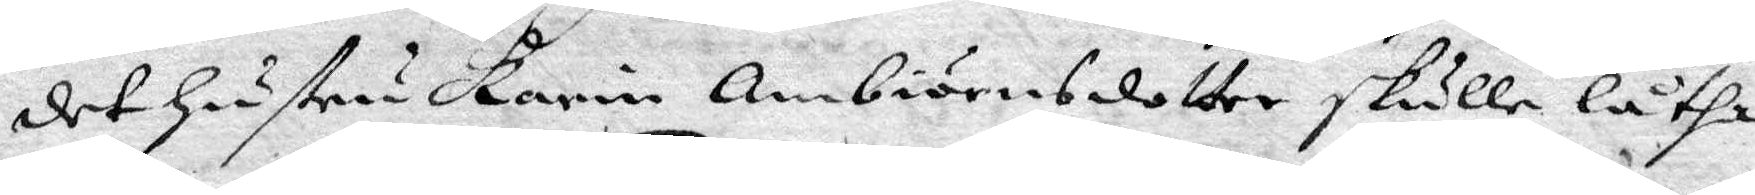det Hustru Karin Ambiörnsdotter skulle låtha
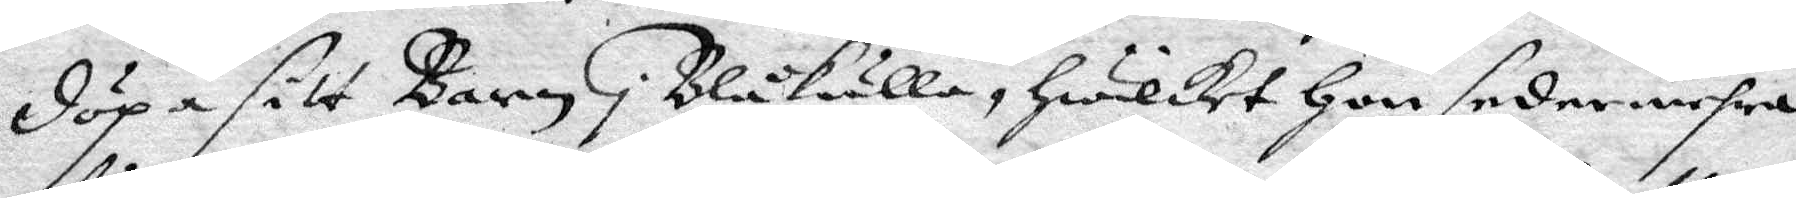döpa sitt Barn i Blåkulla, Hwilket Hon sedermehra
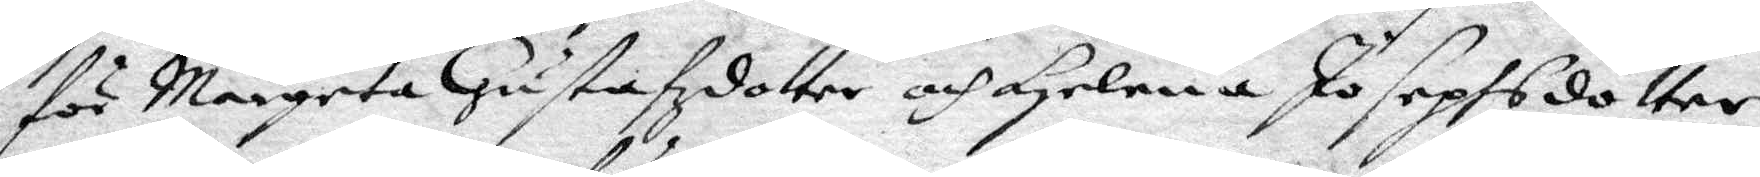för Margeta Gustafzdotter och Helena Josephsdotter
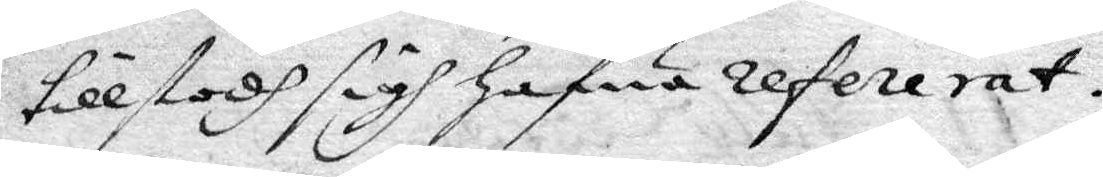tillstodh sigh Hafwa refererat.
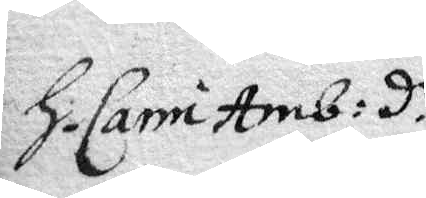H. Carin Amb:d.r
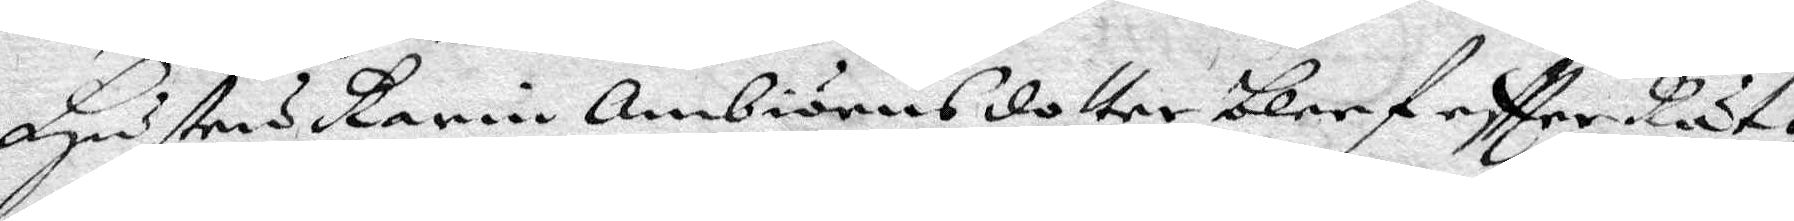Hustru Karin Ambiörnsdotter bleef eftter Rät¬
